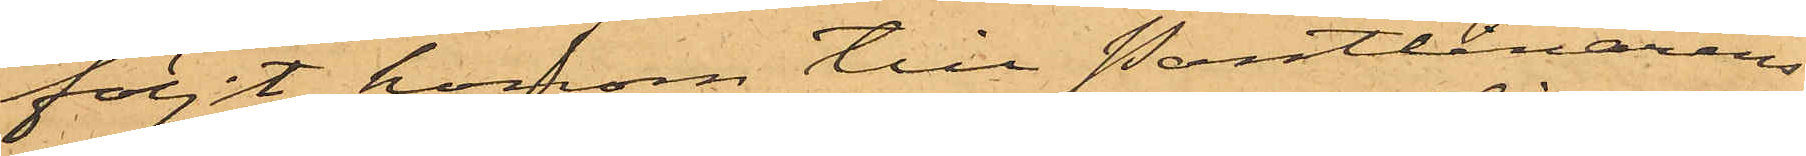följt honom till Pantlånarens
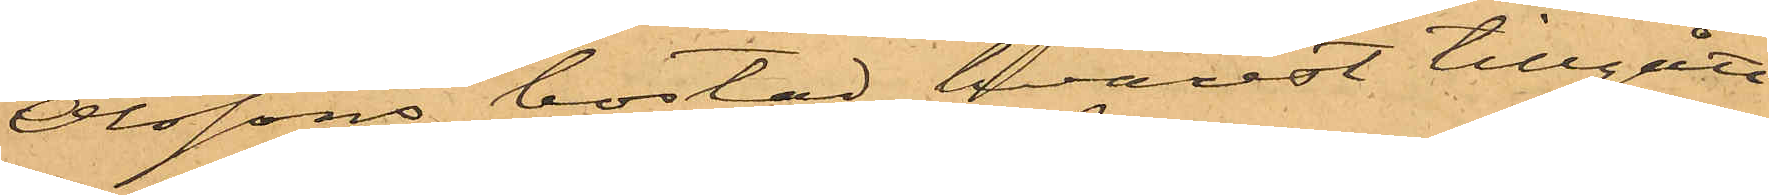Olssons bostad, hvarest tillgått
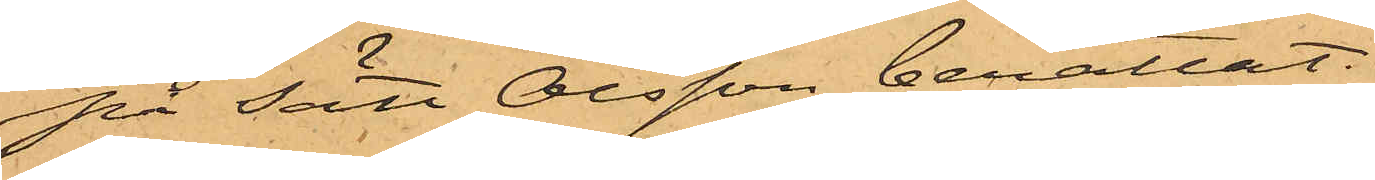på sätt Olsson berättat.
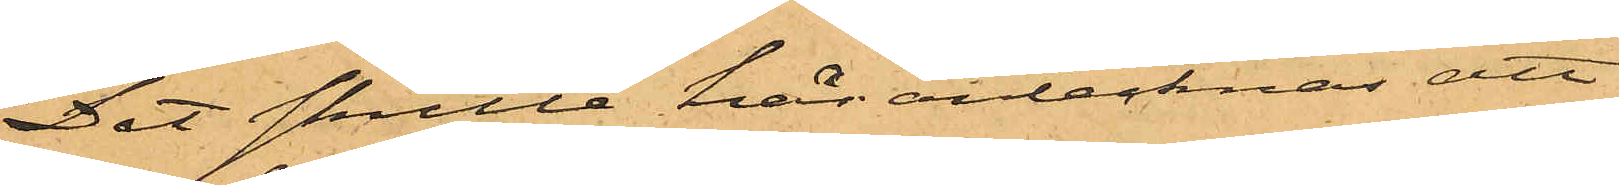Det skulle här antecknas att
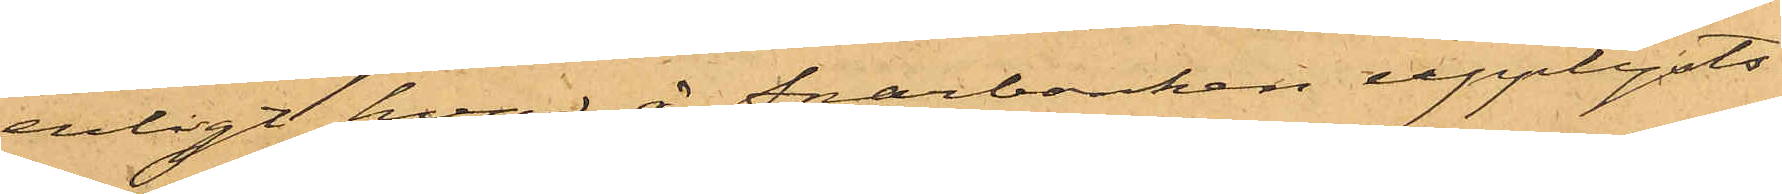enligt hvad å Sparbanken upplysts
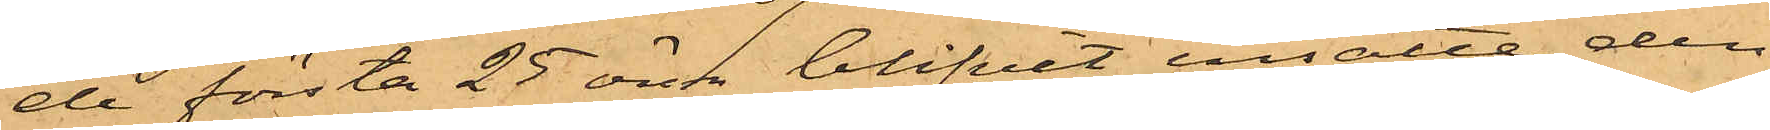de första 25 ören blifvit insatte den
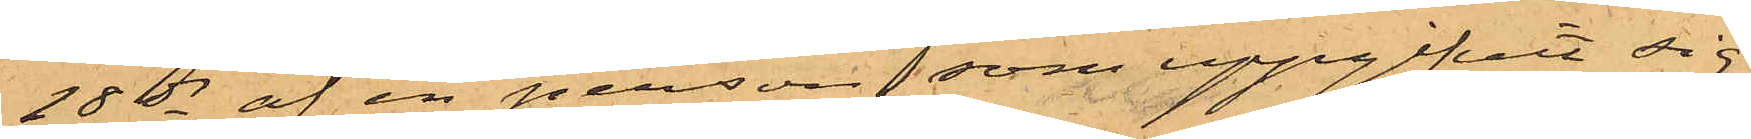28 ds af en person, som uppgifvit sig
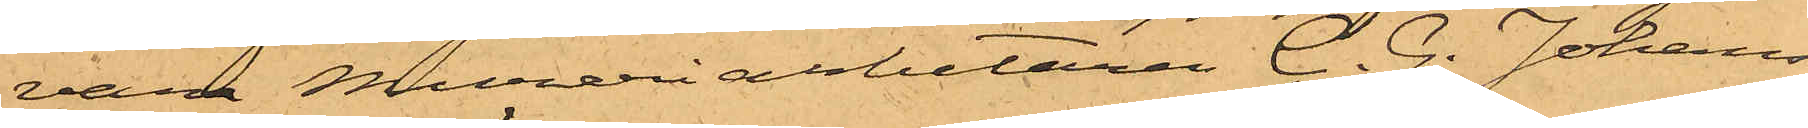vara Mureriarbetaren C. G. Johans¬
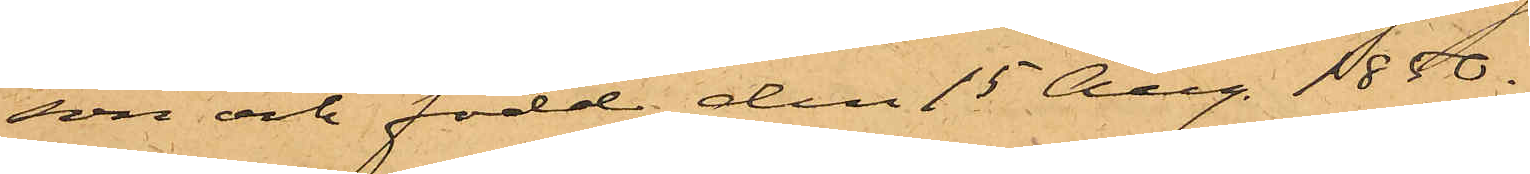son och född den 15 Aug. 1850.
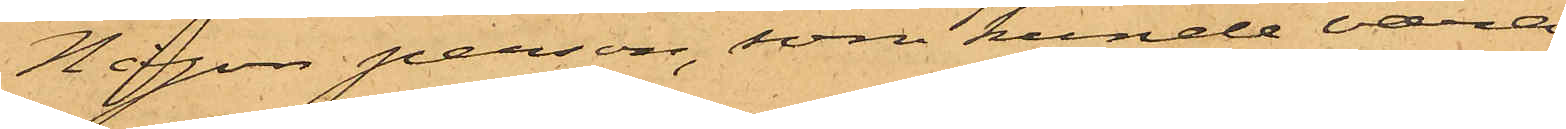Någon person, som kunde vara
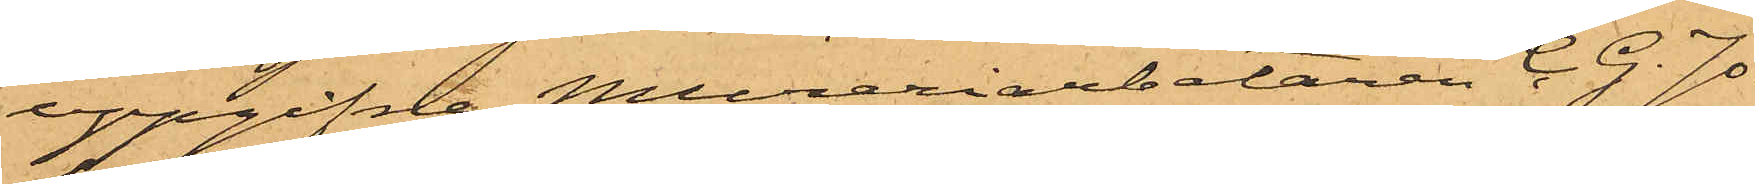uppgifne Mureriarbetaren C. G. Jo¬
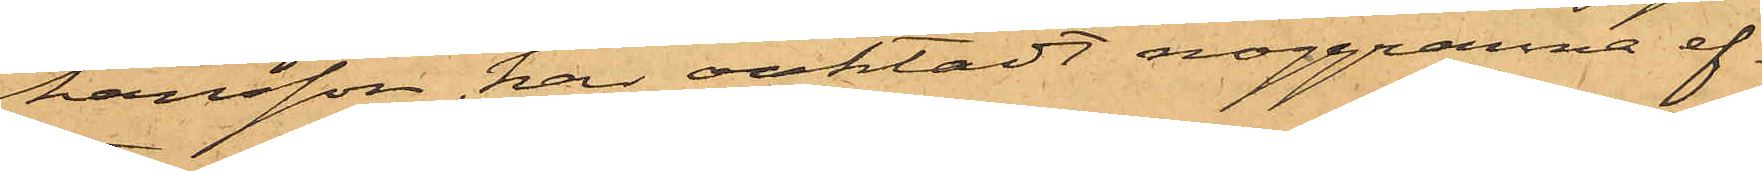hansson har oaktadt noggranna ef¬
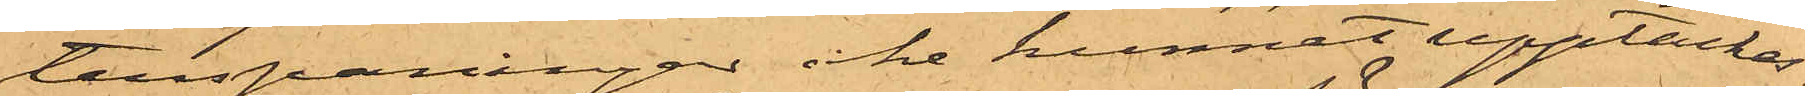terspaningar icke kunnat upptäckas.
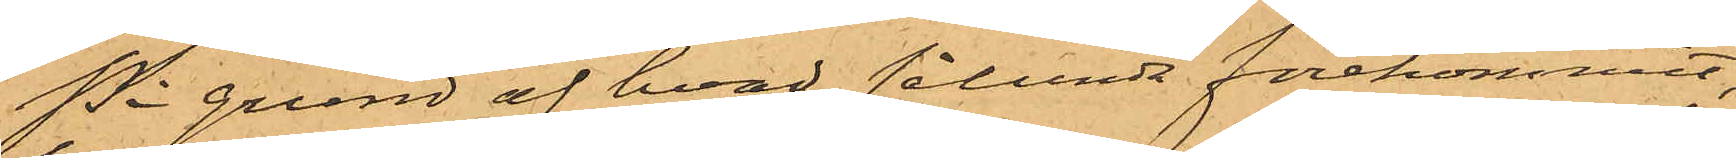På grund af hvad sålunda förekommit,
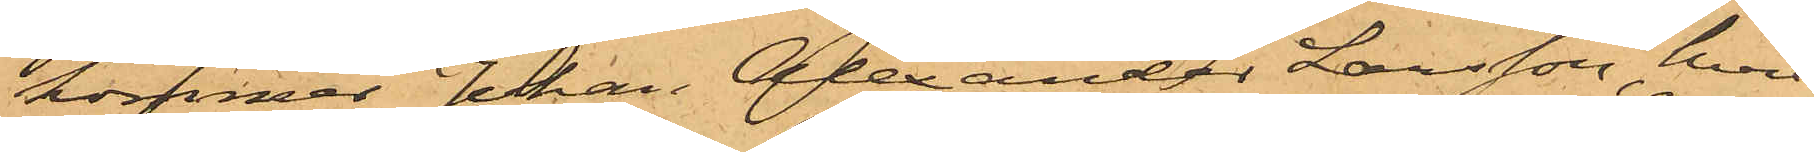kommer Johan Alexander Larsson, hvil¬
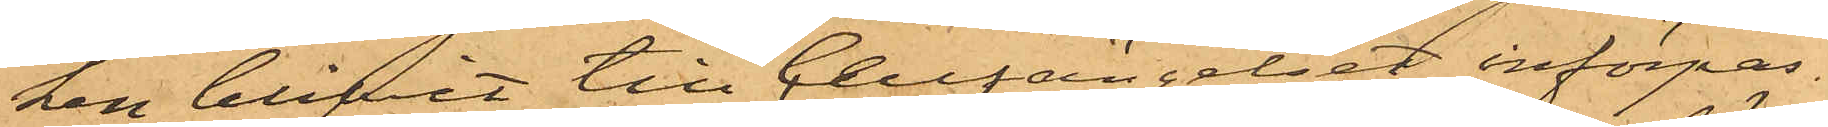ken blifvit till Cellfängelset införpas¬
